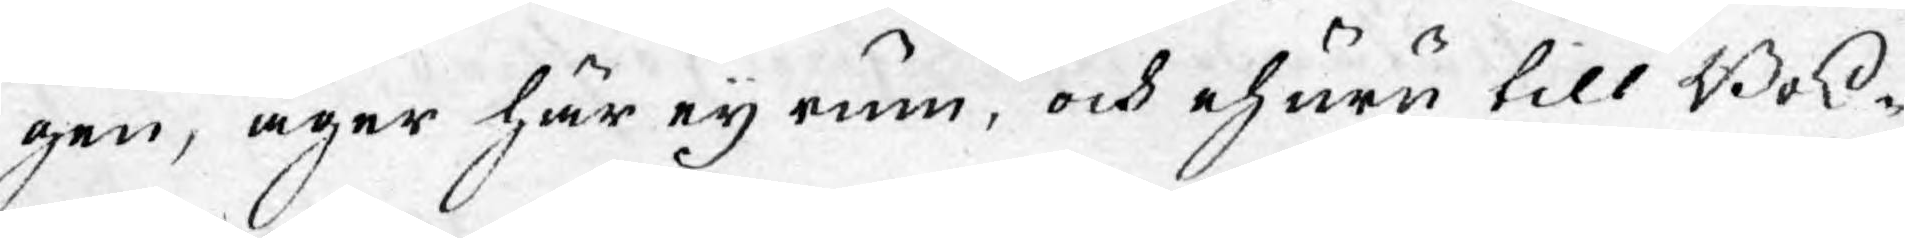gen, äger här eij rum, och ehuru till Bok¬
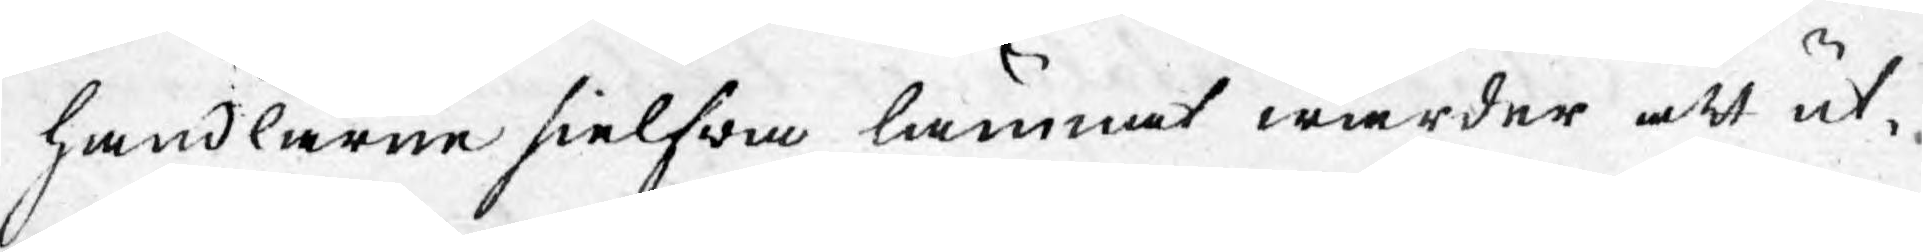handlarne sielfwa lämnat warder att ut¬
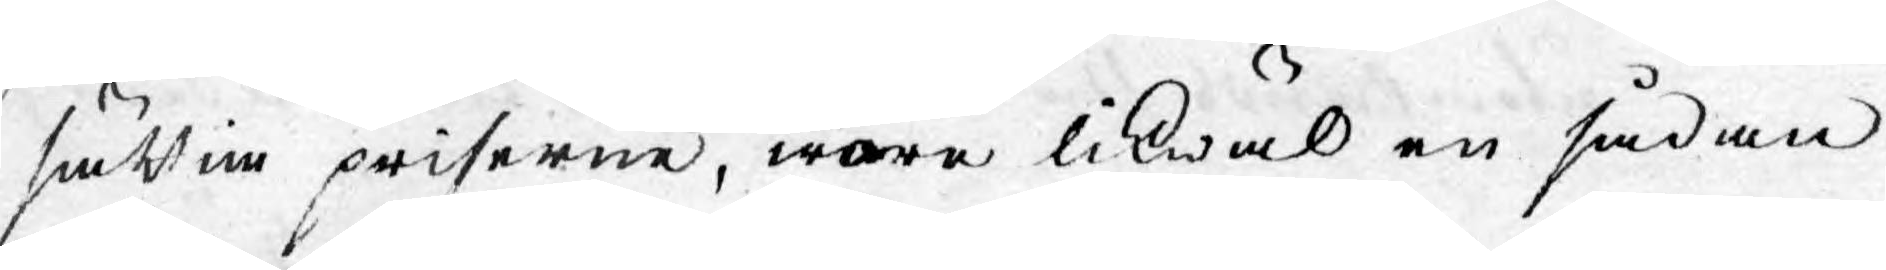sättia priserne, ware likwäl en sådan
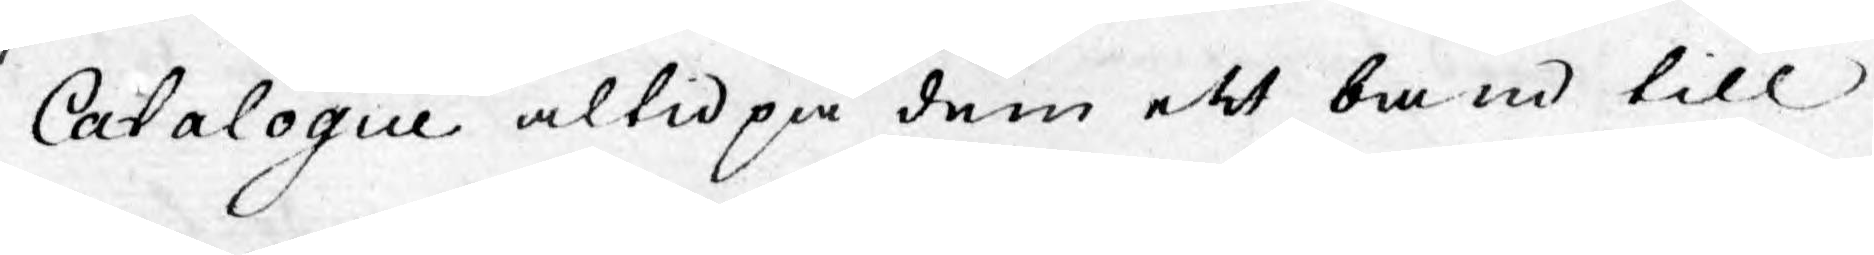Catalogue altid på dem ett band till
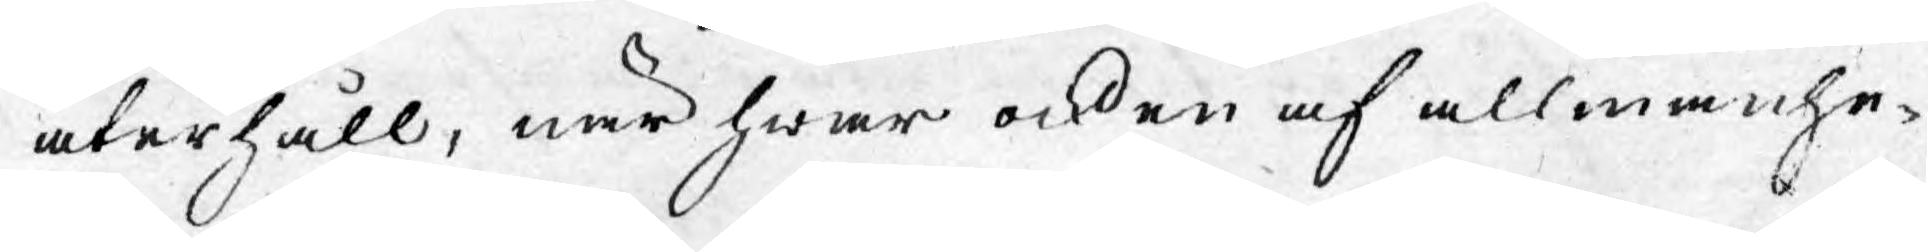återhåll, när hwar ock en af allmänhe¬
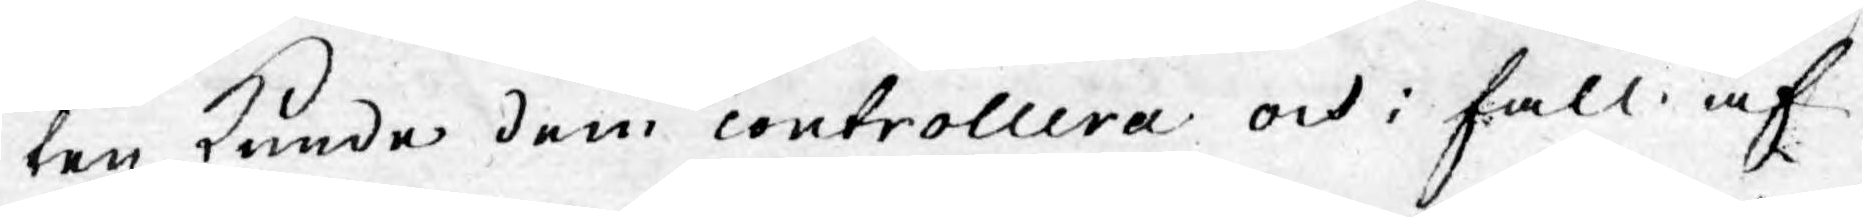ten kunde dem controllera och i fall af
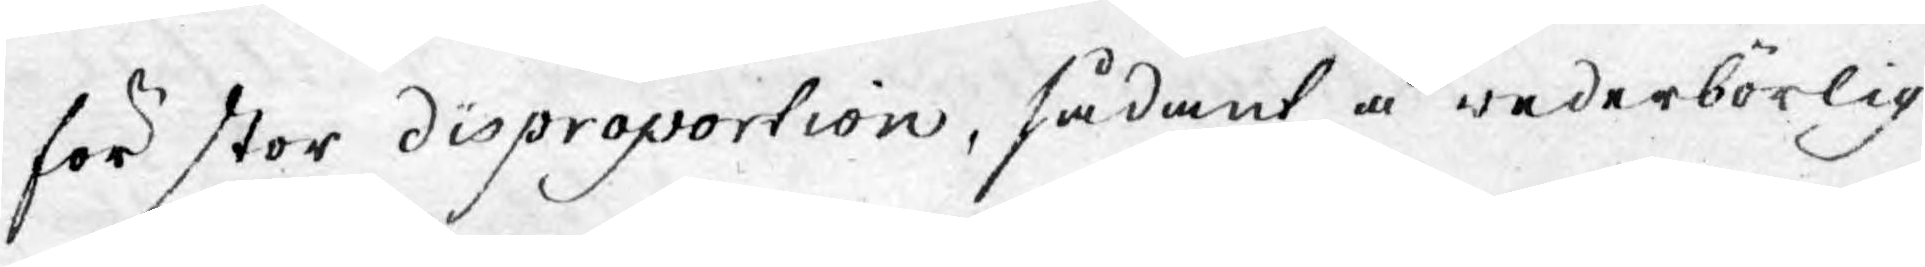för stor disproportion, sådant å wederbörlig
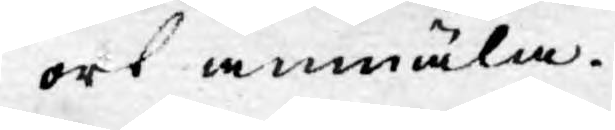ort anmäla.
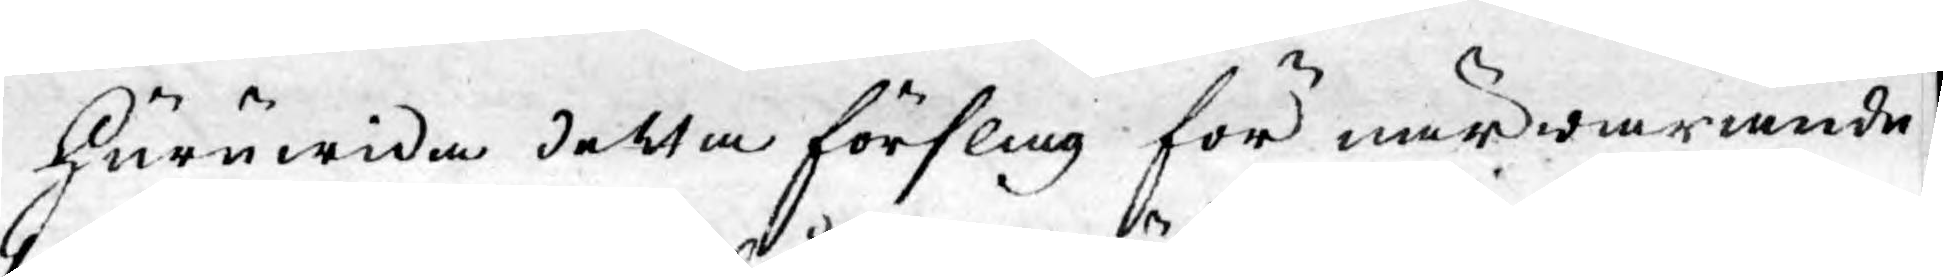Huruwida detta förslag för närwarande
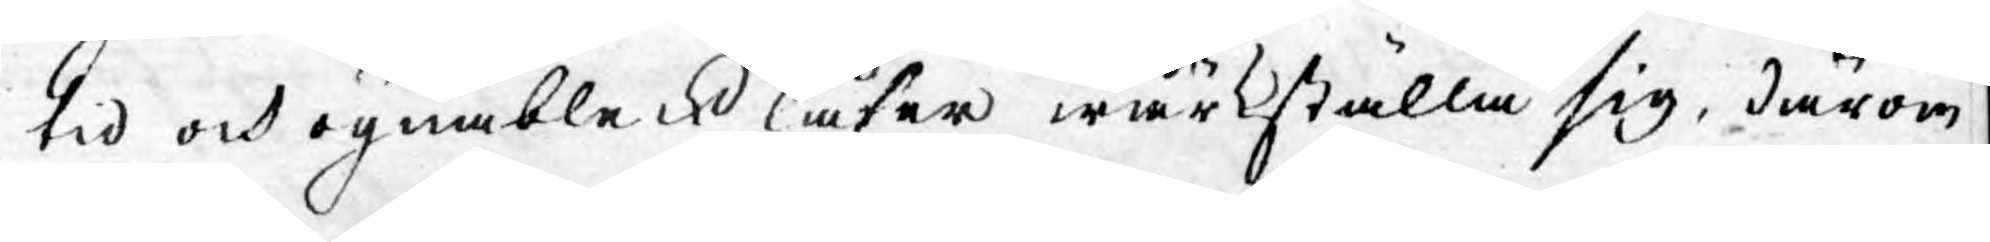tid och ögnableck låter wärkställa sig, därom
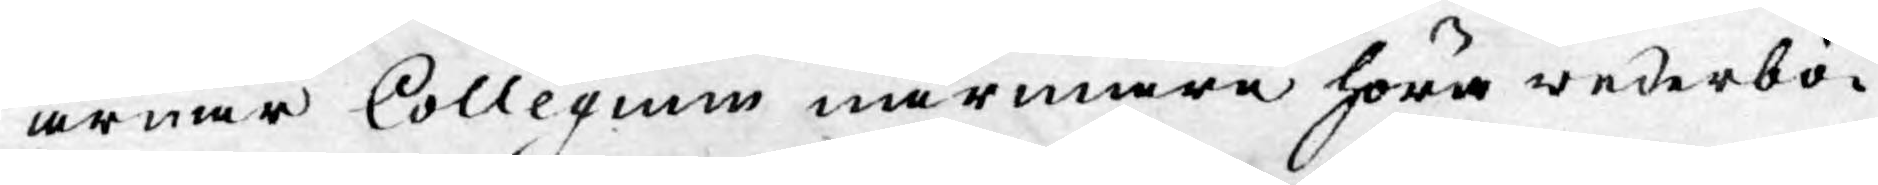ärnar Collegium närmare höra wederbö¬
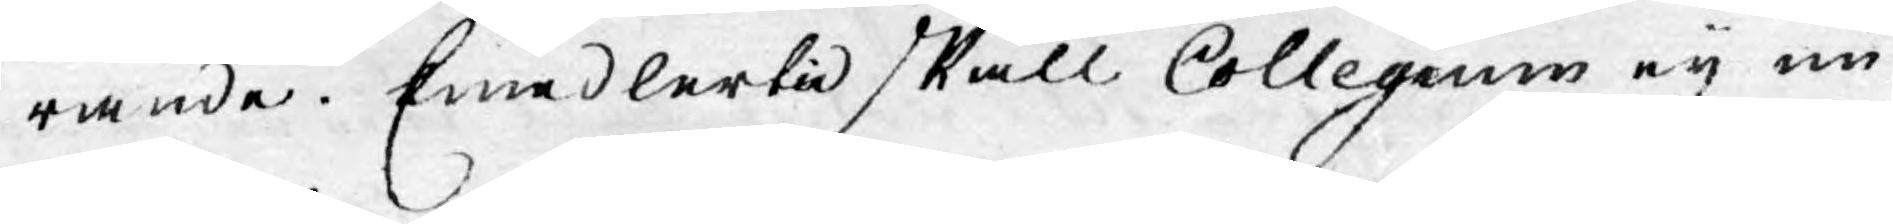rande. Emedlertid skall Collegium eij un¬
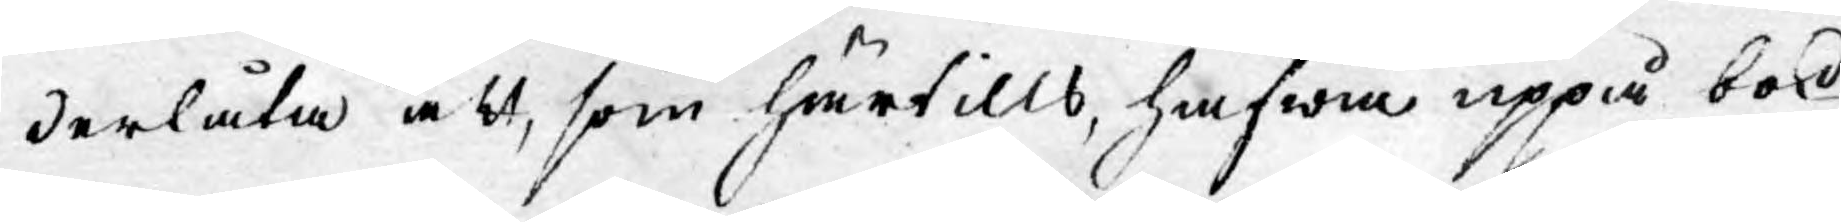derlåta att, som härtills, hafwa uppå bok¬
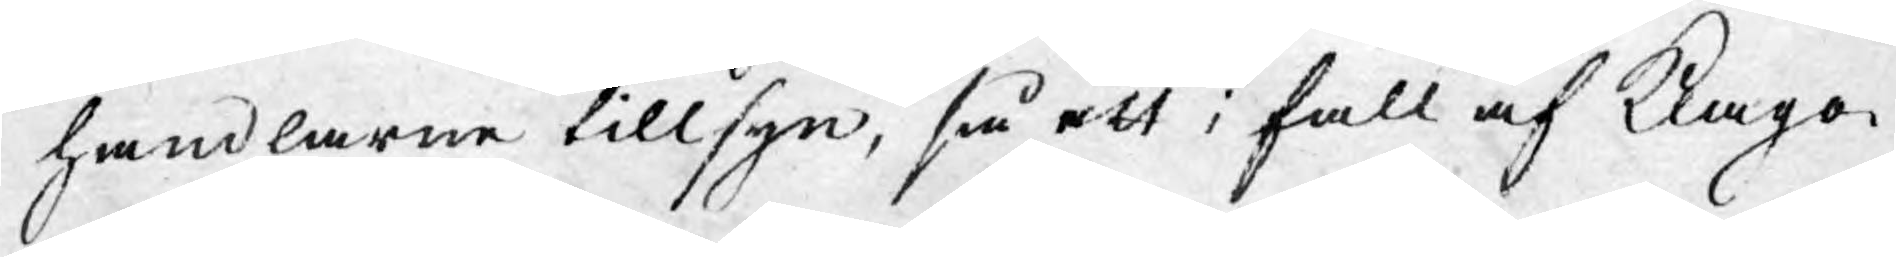handlarne tillsyn, så att i fall af Klago¬
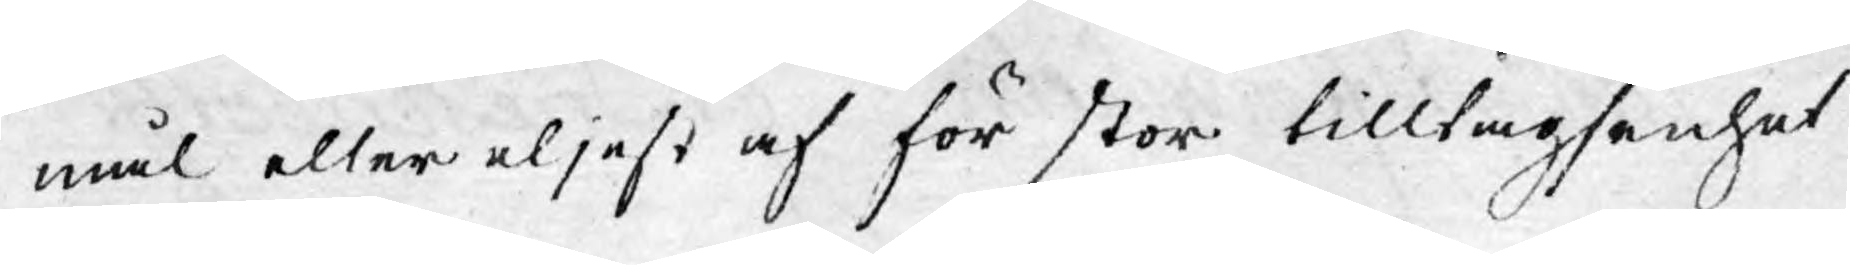mål eller eljest af för stor tilltagsenhet
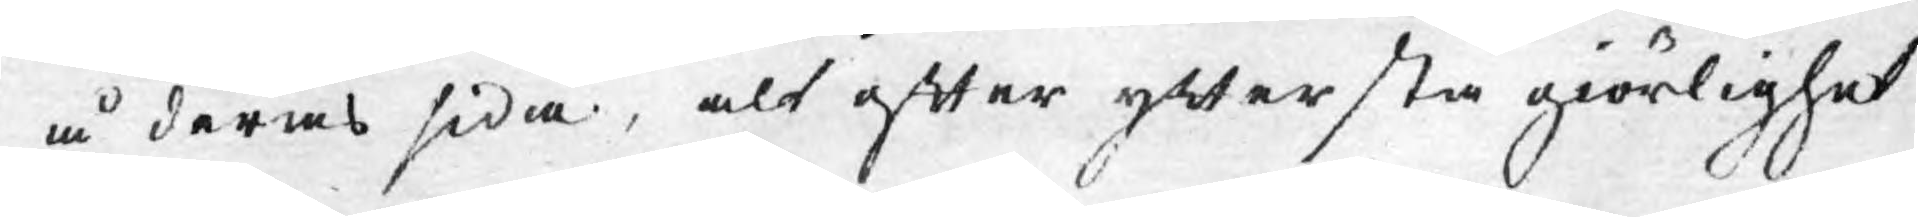å deras sida, alt efter yttersta giörlighet
